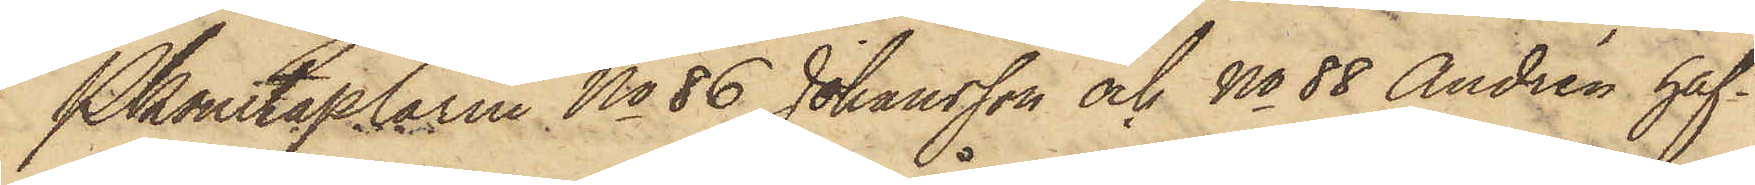Pkonstaplarne No 86 Johansson och No 88 Andrén haf¬
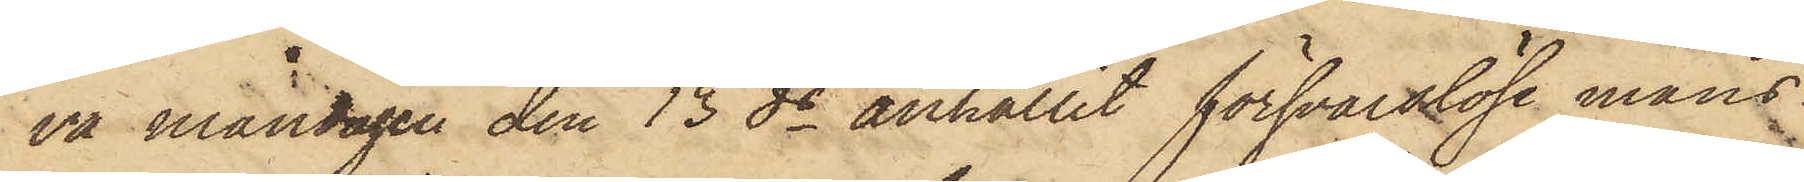va måndagen den 13 ds anhållit försvarslöse mans¬
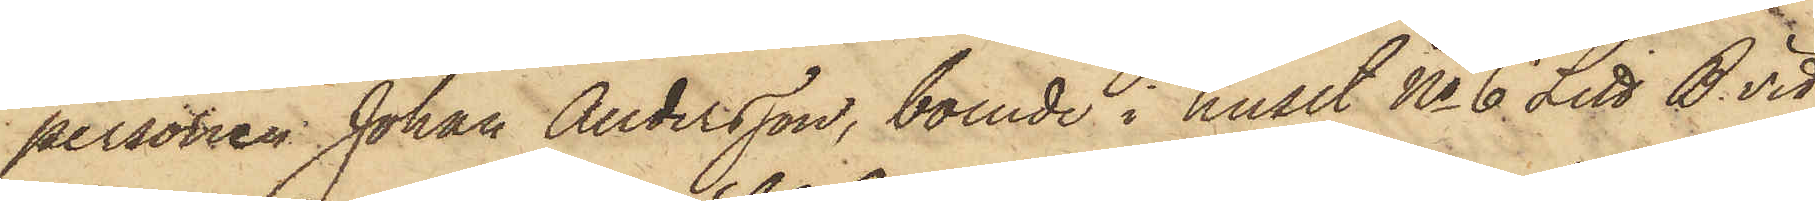personen Johan Andersson, boende i huset No 6 Litt B vid
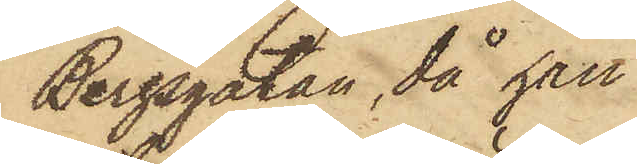Bergsgatan, då han
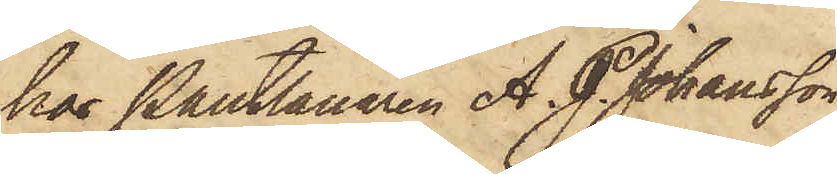hos Pantlånaren A. J. Johansson
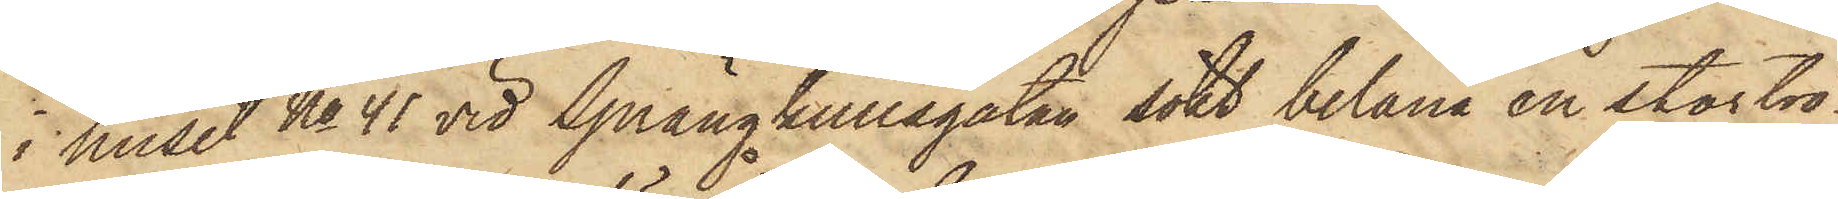i huset No 41 vid Sprängkullsgatan sökt belåna en stortrö¬
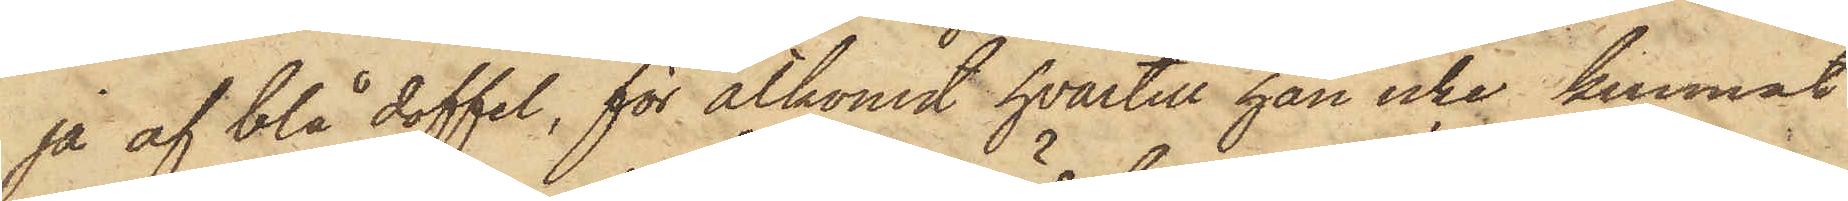ja af blå doffel, för åtkomst hvartill han icke kunnat
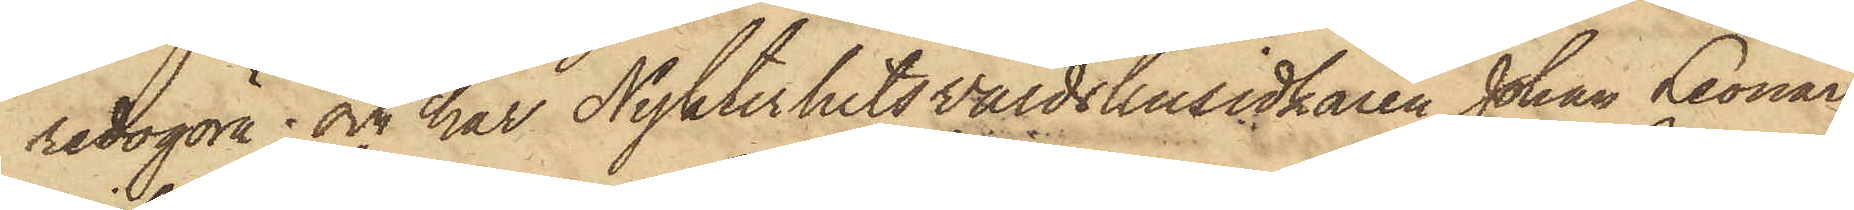redogöra; och har Nykterhetsvärdshusidkaren Johan Leonard
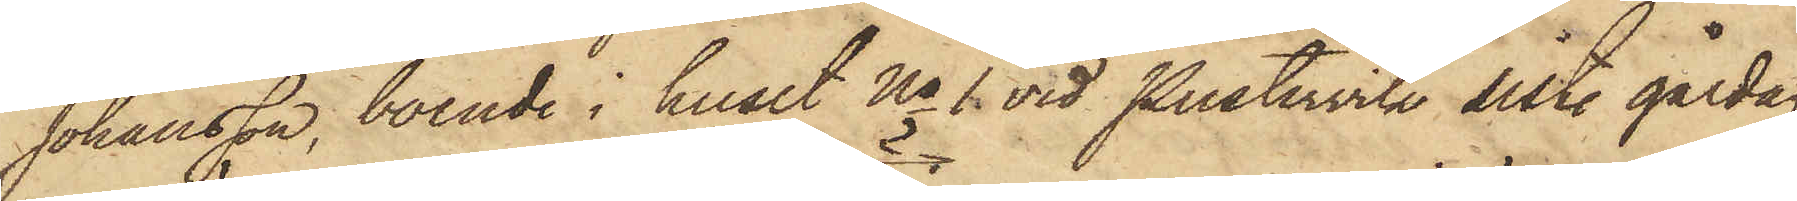Johansson, boende i huset No 1 vid Pustervik sist. gårdag
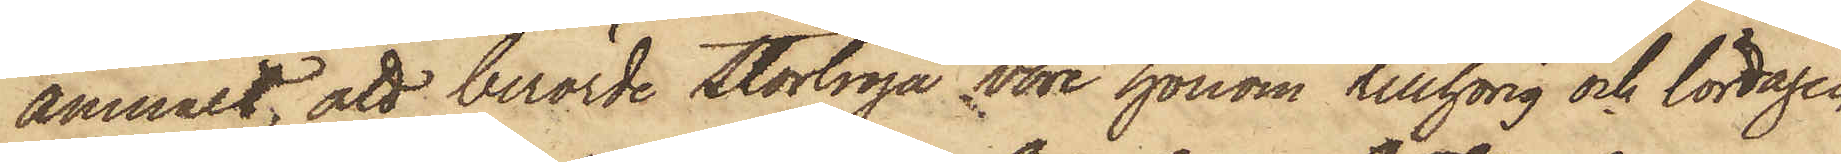anmält, att berörde stortröja vore honom tillhörig och lördagen
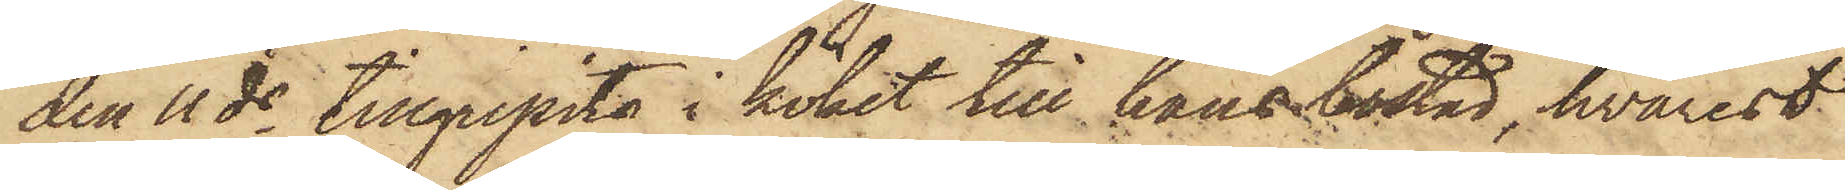den 11 ds tillgripits i köket till hans bostad, hvarest
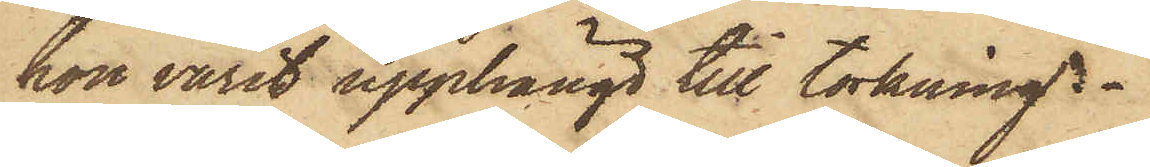hon varit upphängd till torkning.
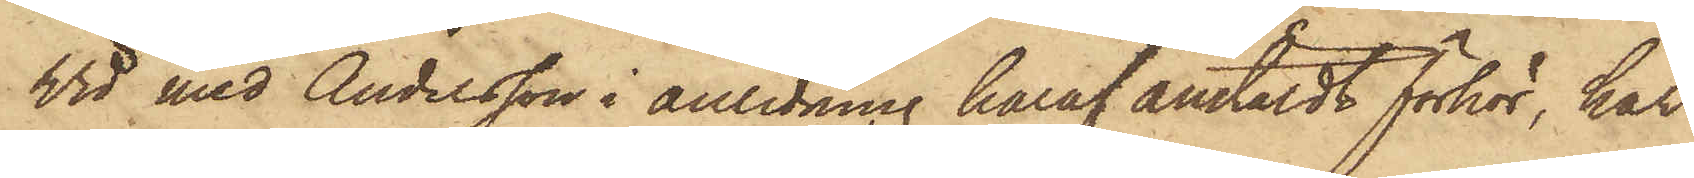Vid med Andersson i anledning häraf anstäldt förhör, har
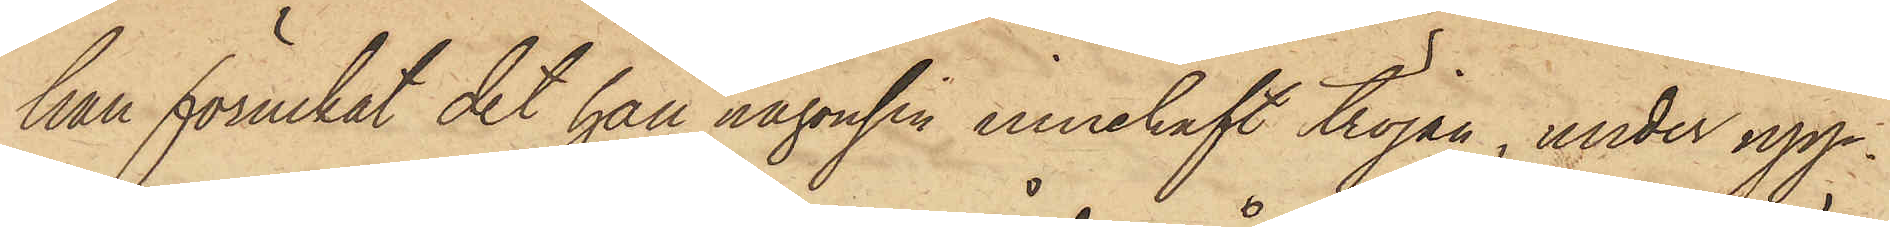han förnekat det han någonsin innehaft tröjan, under upp¬
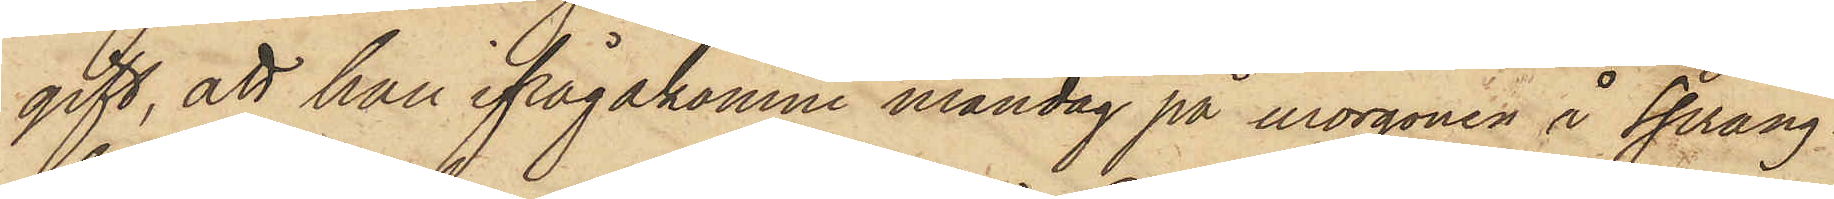gift, att han ifrågakomne måndag på morgonen å Spräng¬
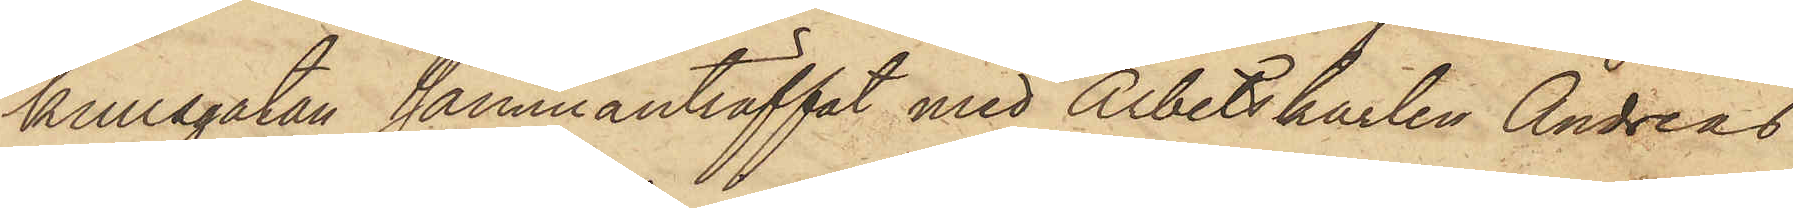kullsgatan sammanträffat med Arbetskarlen Andreas
